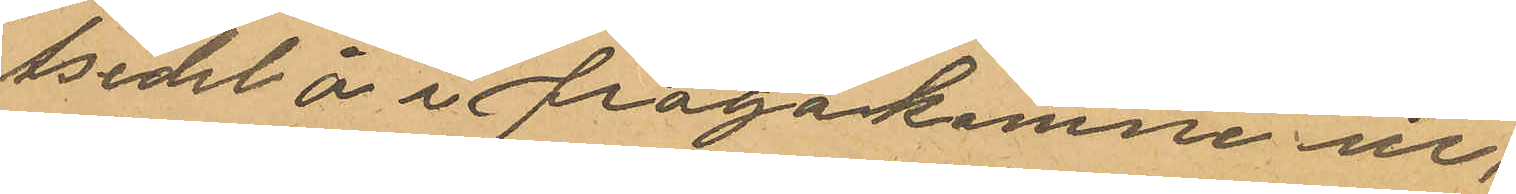tsedel å i frågakomne ur,
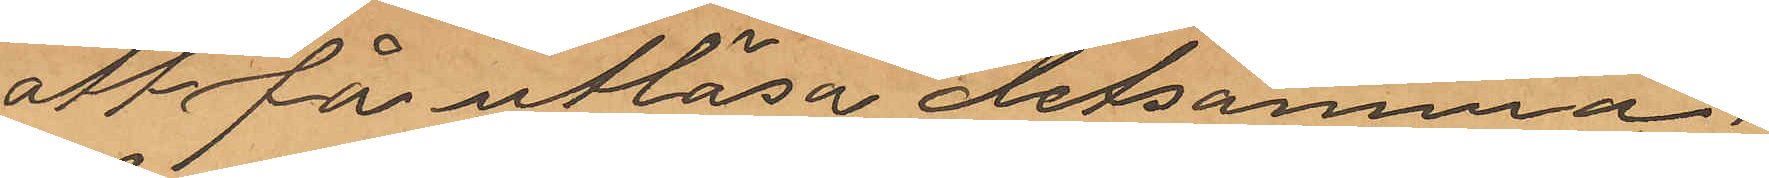att få utlösa detsamma.
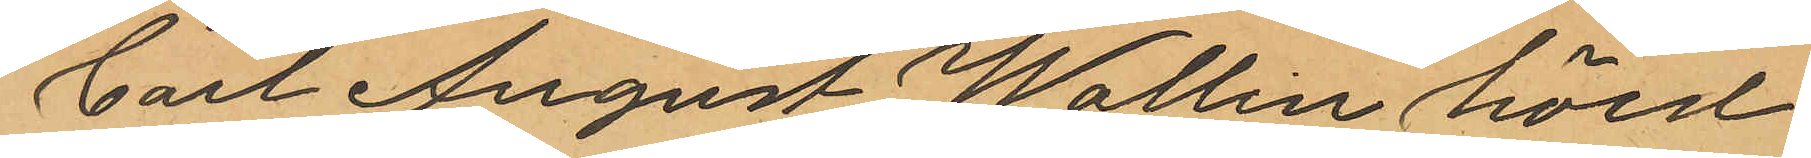Carl August Wallin hörd
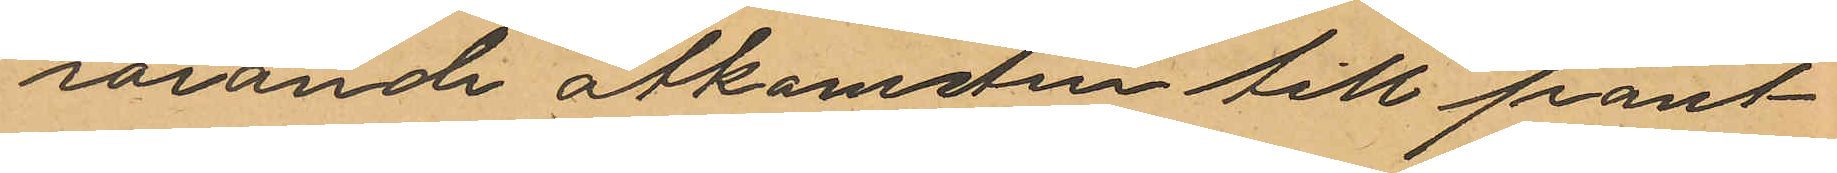rörande åtkomsten till pant¬
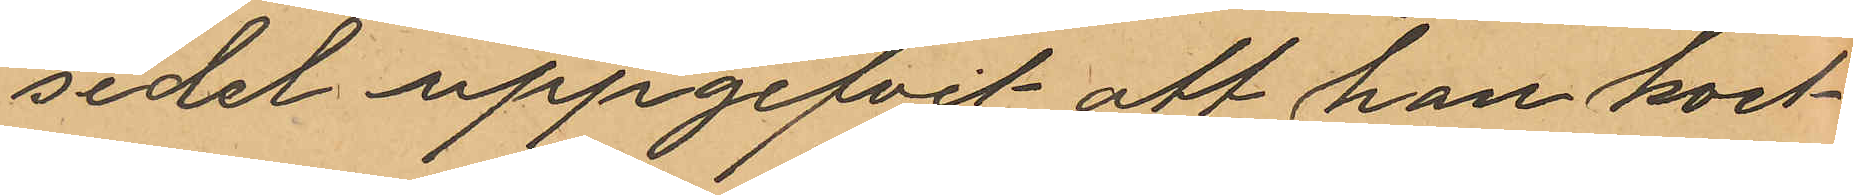sedel uppgifvit att han kort
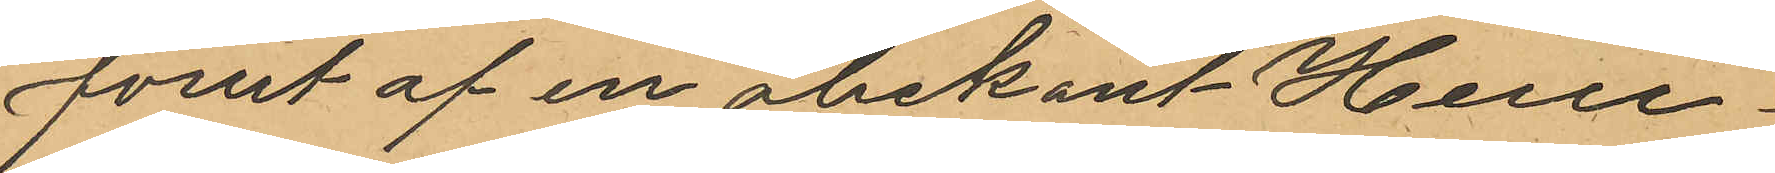förut af en obekant Herre
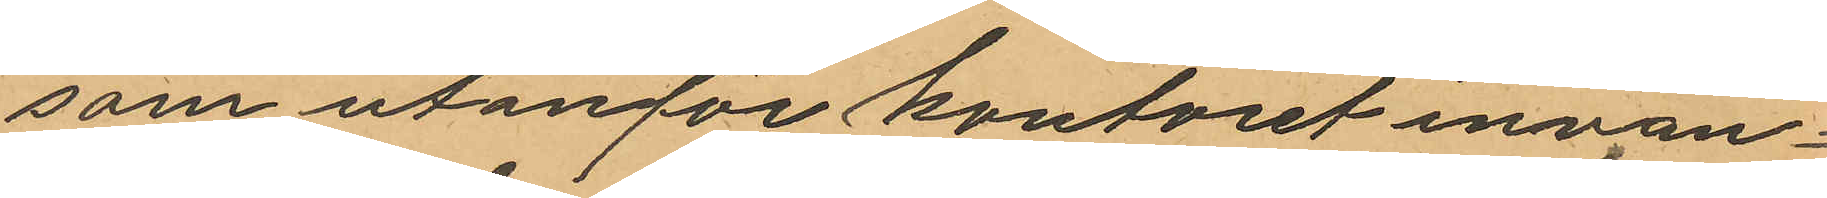som utanför kontoret invän¬
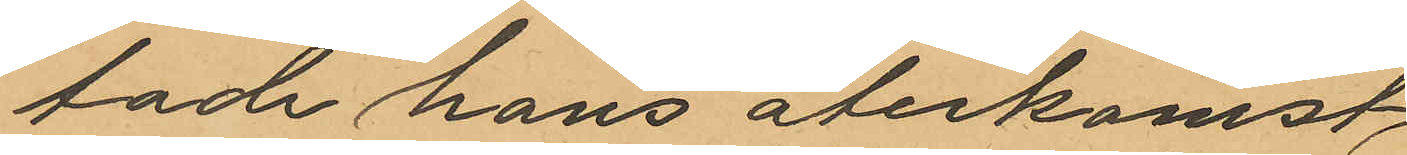tade hans återkomst,
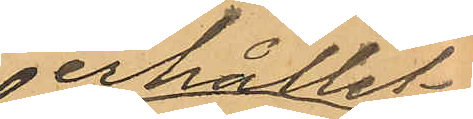erhållit
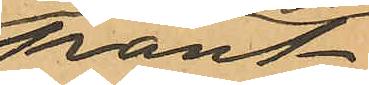pant¬
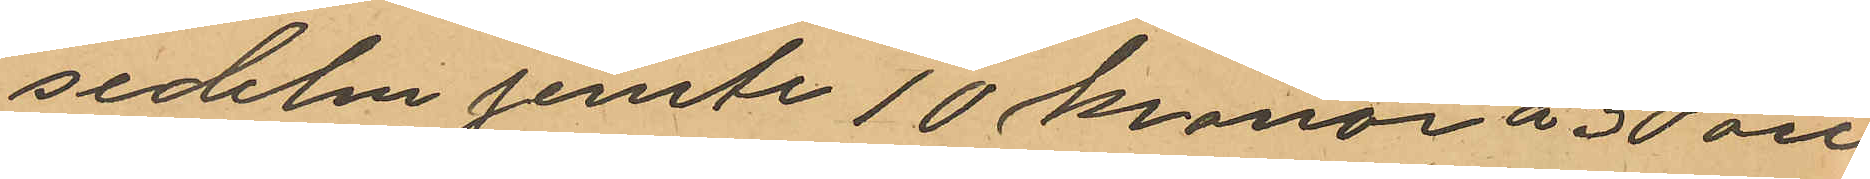sedeln jemte 10 kronor á 30 öre
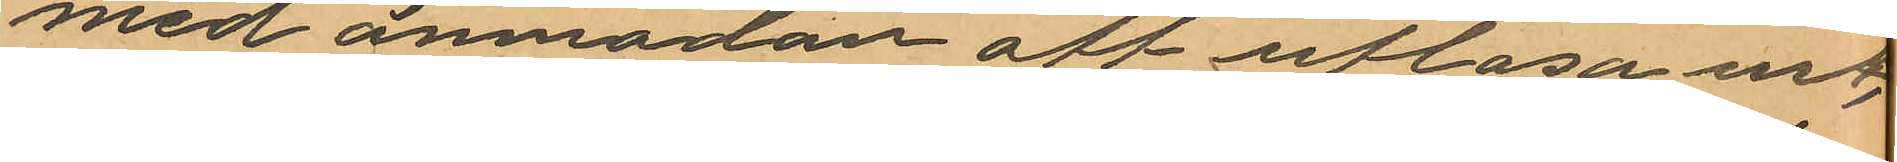med anmodan att utlösa uret.
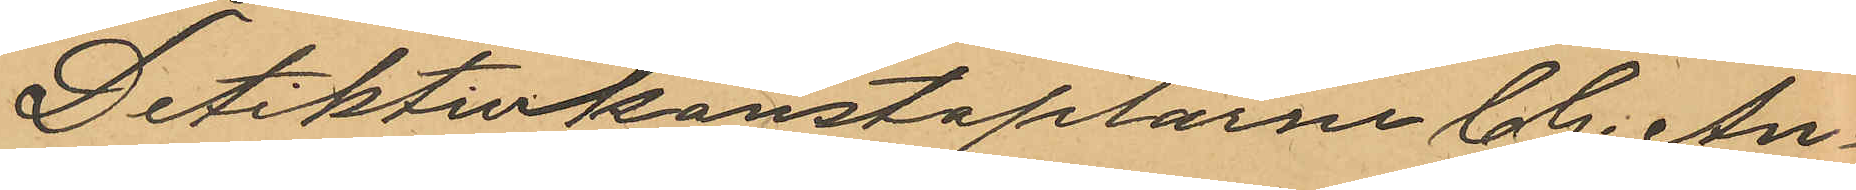Detektivkonstaplarne C. G. . An¬
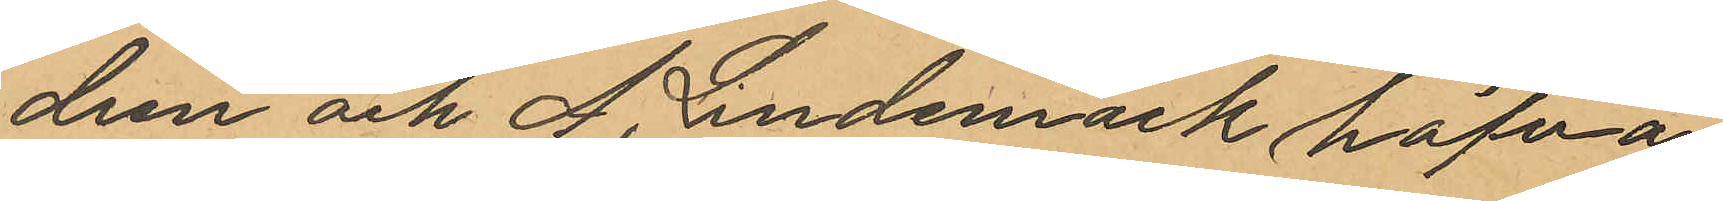dren och A. Lindemark hafva
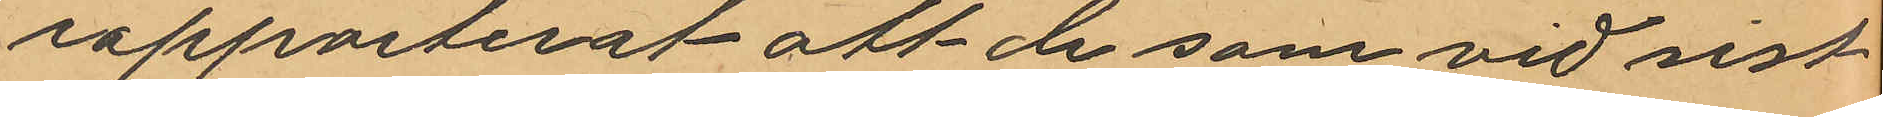rapporterat att de som vid sist¬
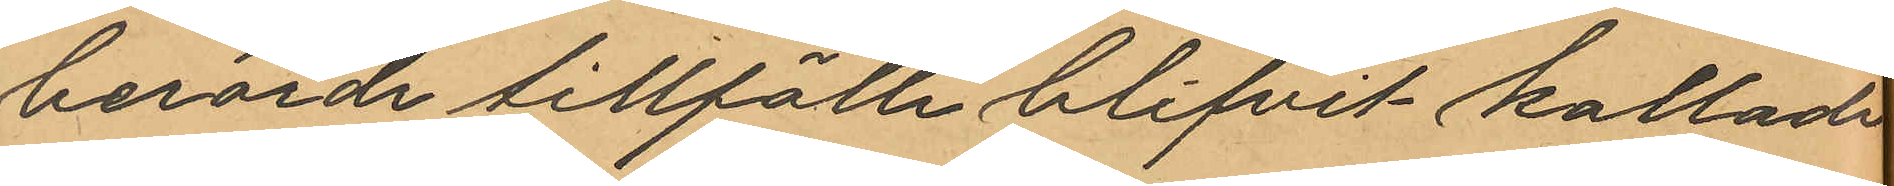berörde tillfälle blifvit kallade
